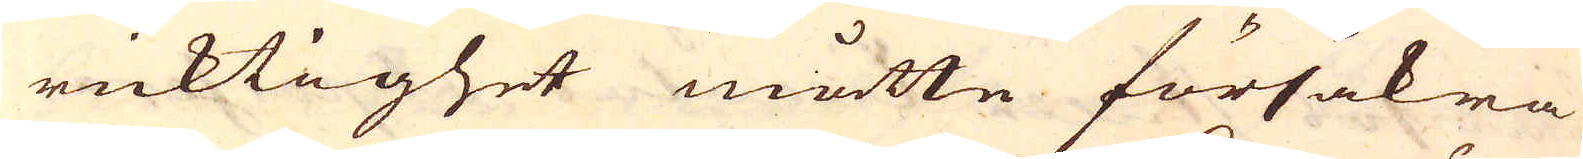ricktighet måtte försäkra
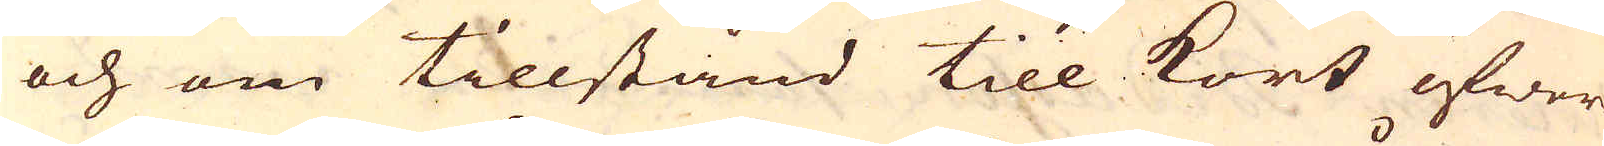och om tillstånd till kort öfwer-
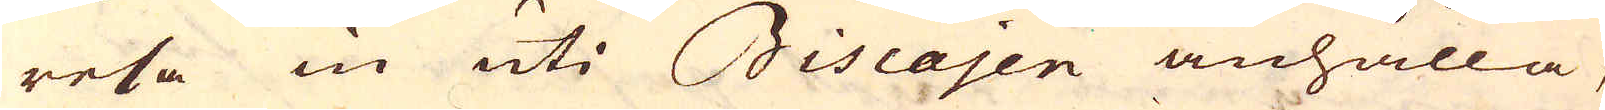resa in uti Biscajen anhålla,
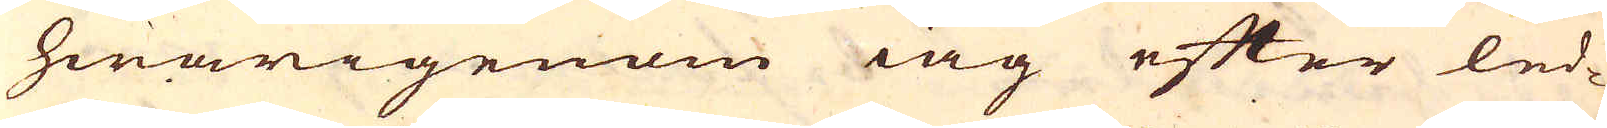hwarigenom iag efter led-
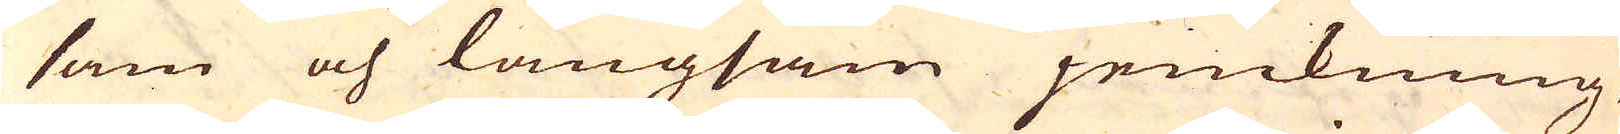sam och långsam jemkning,
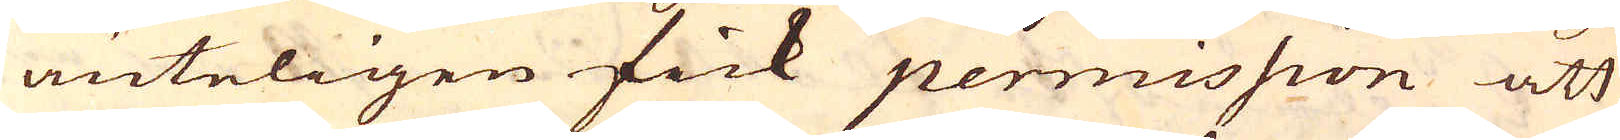änteligen fick permission att
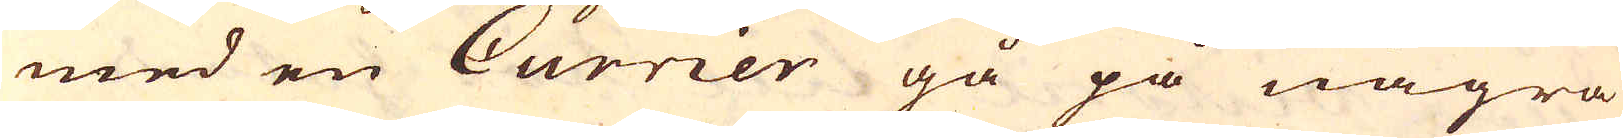med en Currier gå på några
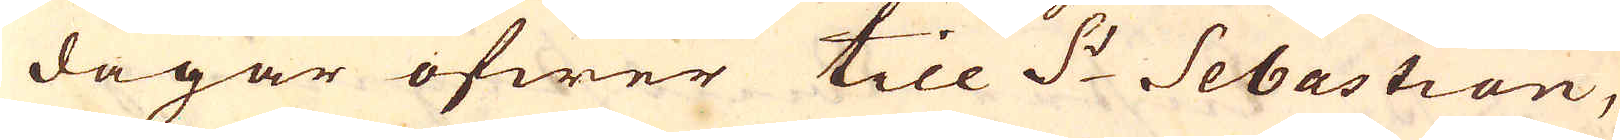dagar öfwer till S:t Sebastian,
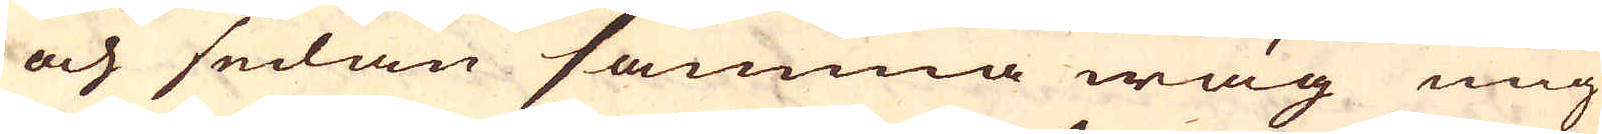och sedan samma wäg mig
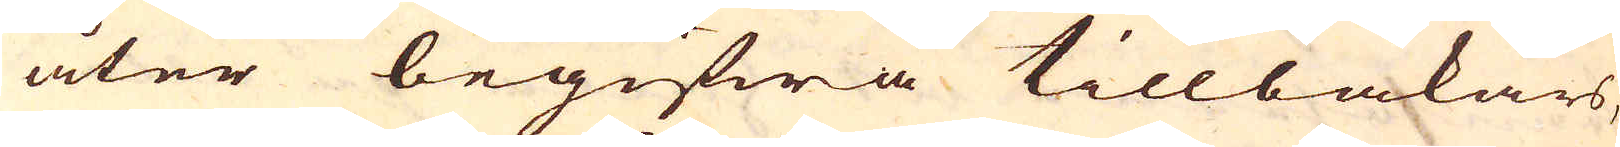åter begifwa tillbakars,
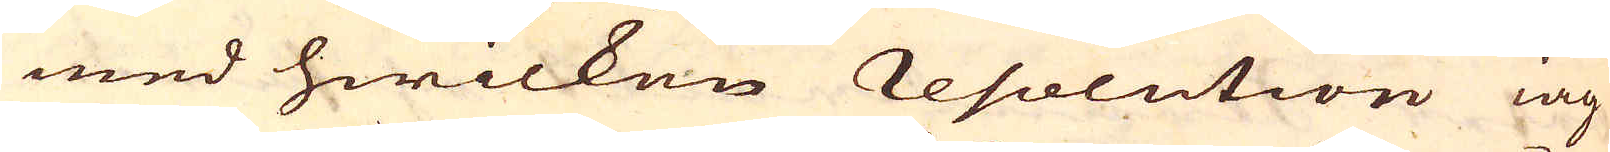med hwilken resolution iag
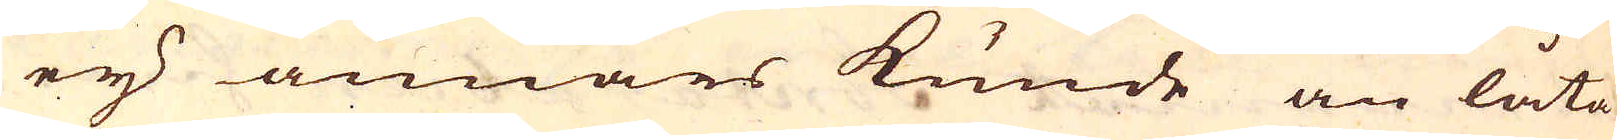eij annars kunde än låta
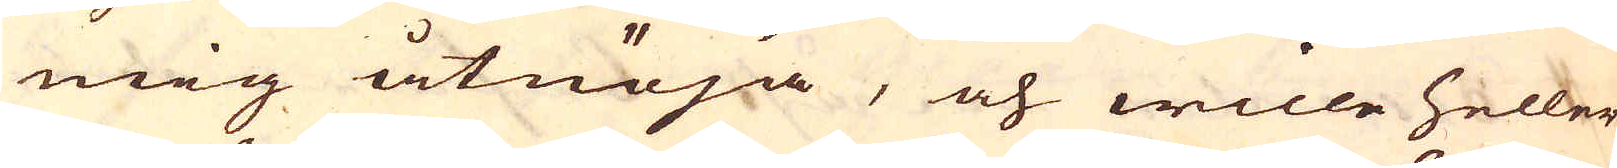mig åtnöja, och wille heller
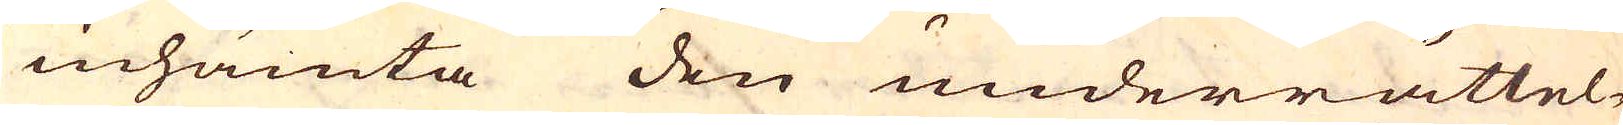inhämta den underrättel-
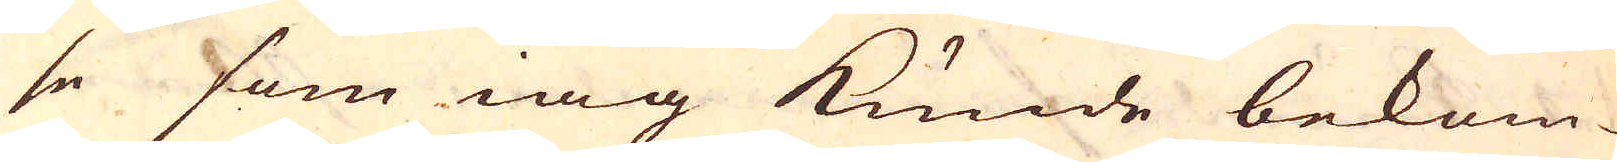se som iag kunde bekom-
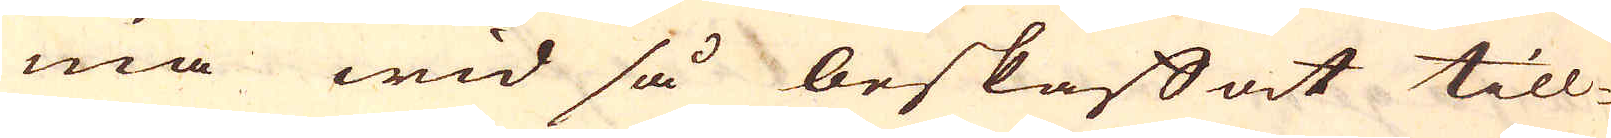ma wid så beskaffat till-
